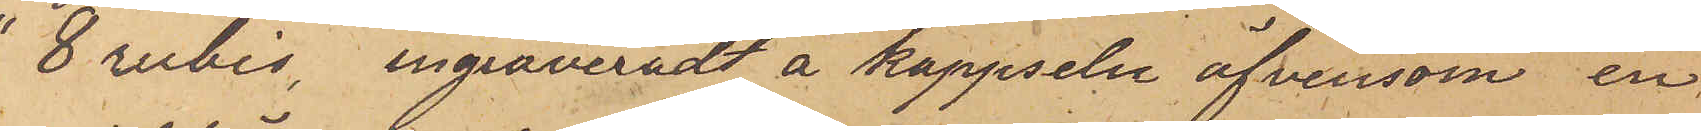"8 rubis", ingraveradt å kappseln äfvensom en
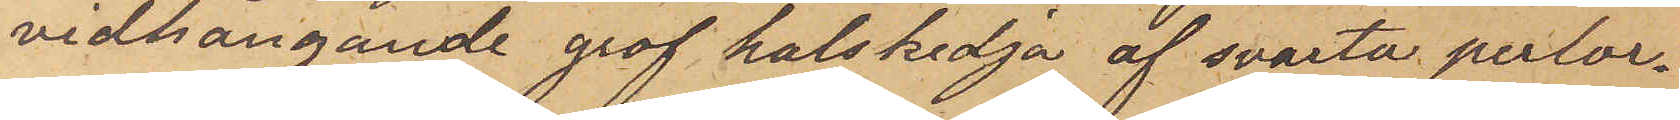vidhängande grof halskedja af svarta perlor.
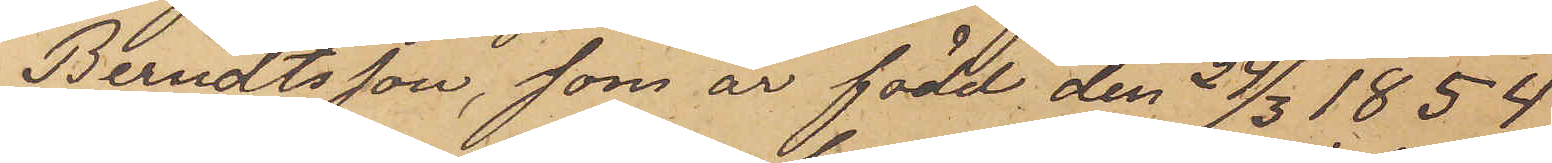Berndtsson, som är född den 24/3 1854
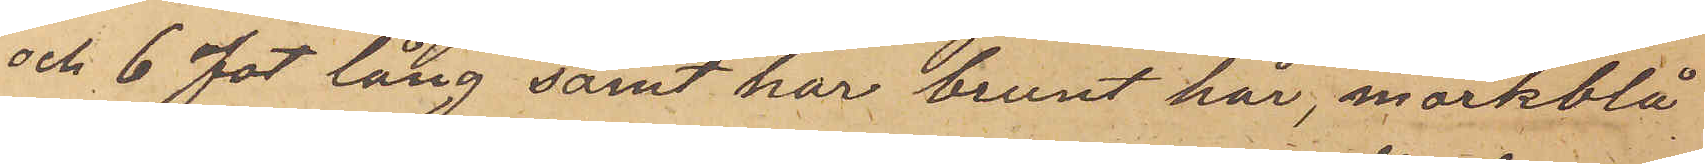och 6 fot lång samt har brunt hår, mörkblå
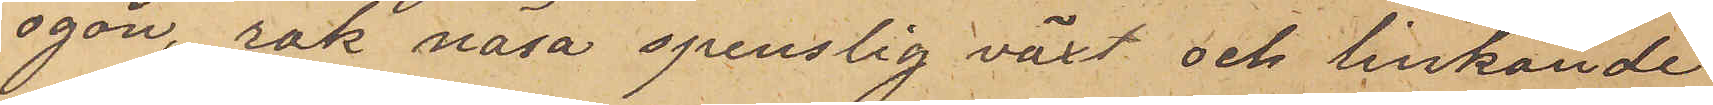ögon, rak näsa spenslig växt och linkande
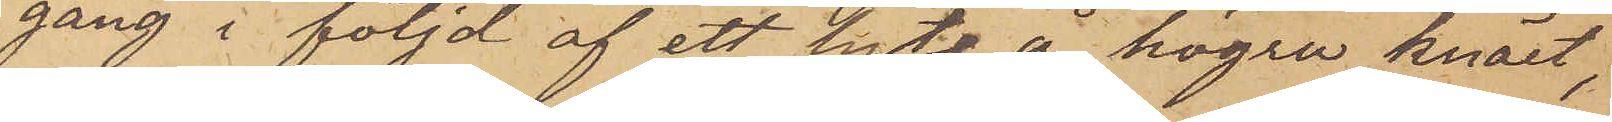gång i följd af ett lyte å högra knäet,
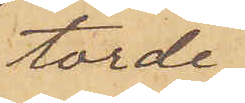torde
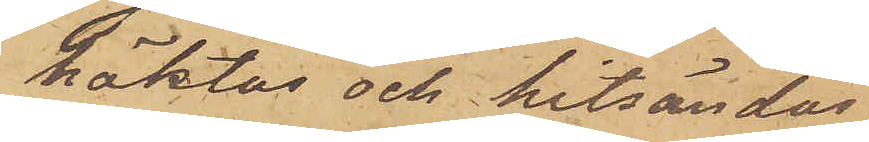häktas och hitsändas
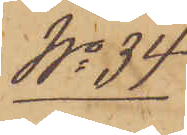No 84
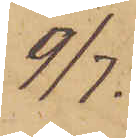9/7.
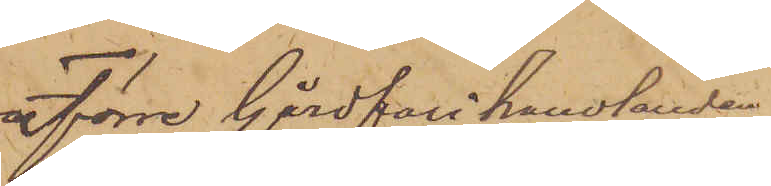Förre Gårdfarihandlanden
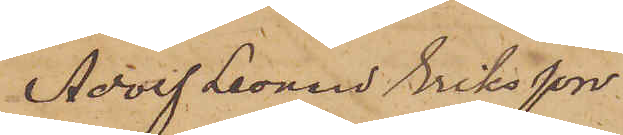Adolf Leonard Eriksson
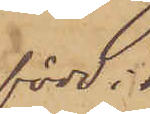född i
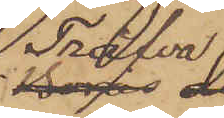Tråfva
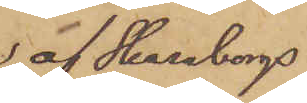af Skaraborgs
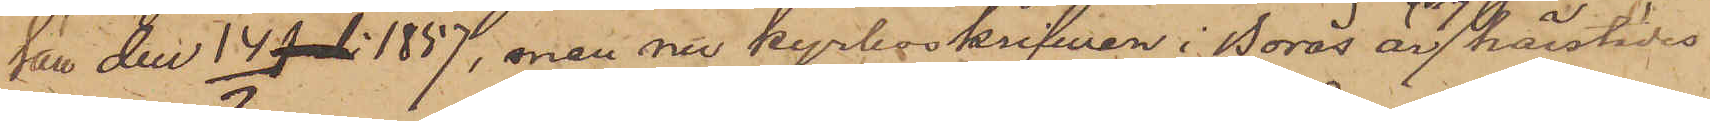Län den 14 Juli 1857, men nu kyrkoskrifwen i Borås är 2/7 härstädes
